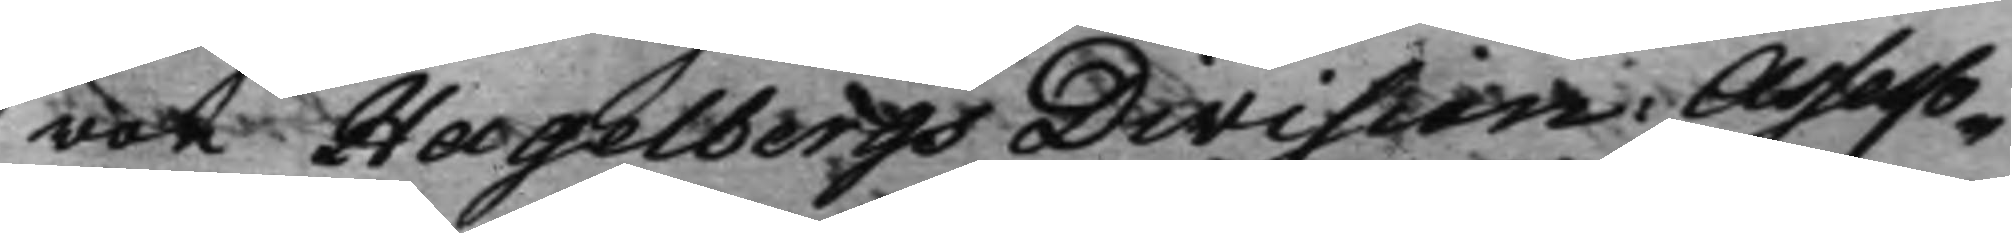von Hagelbergs Division: Assesso¬
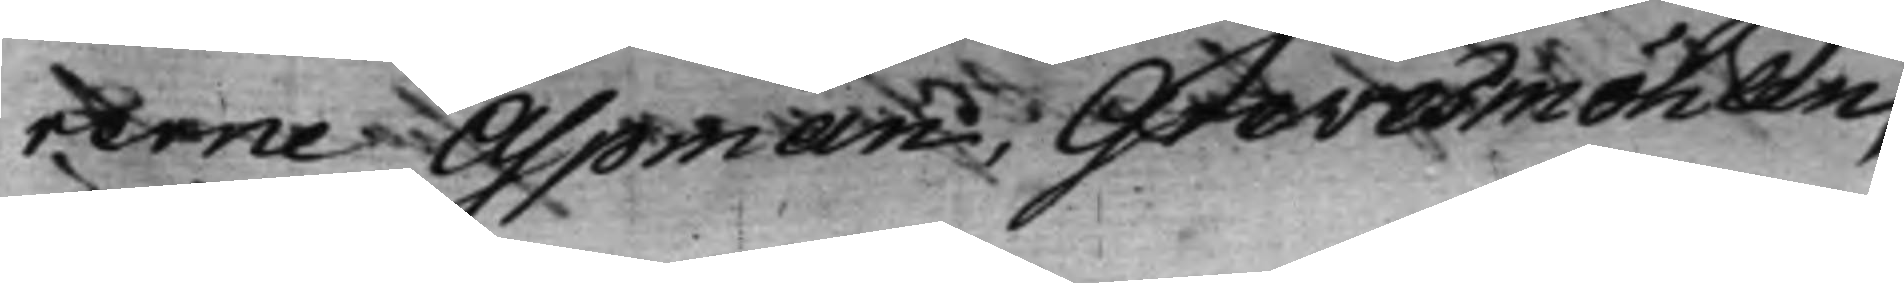rerne Aspman, Grevesmöhlen,
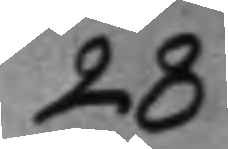28
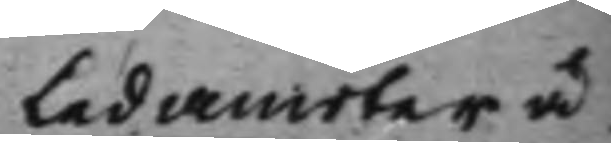Ledamöter å¬ 
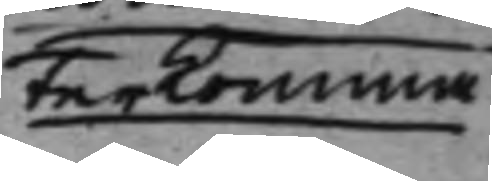terkomma
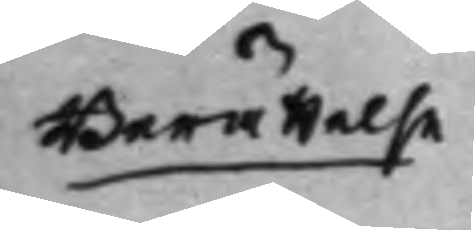Berättelse
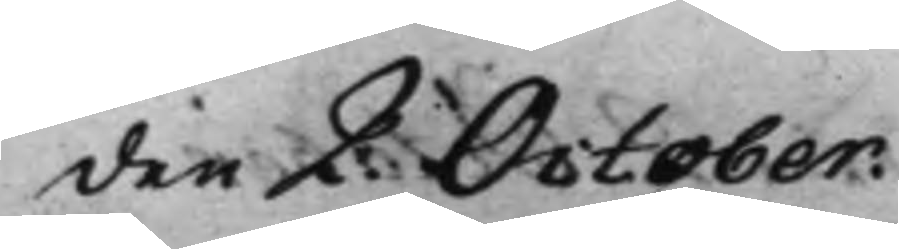den 2. October.
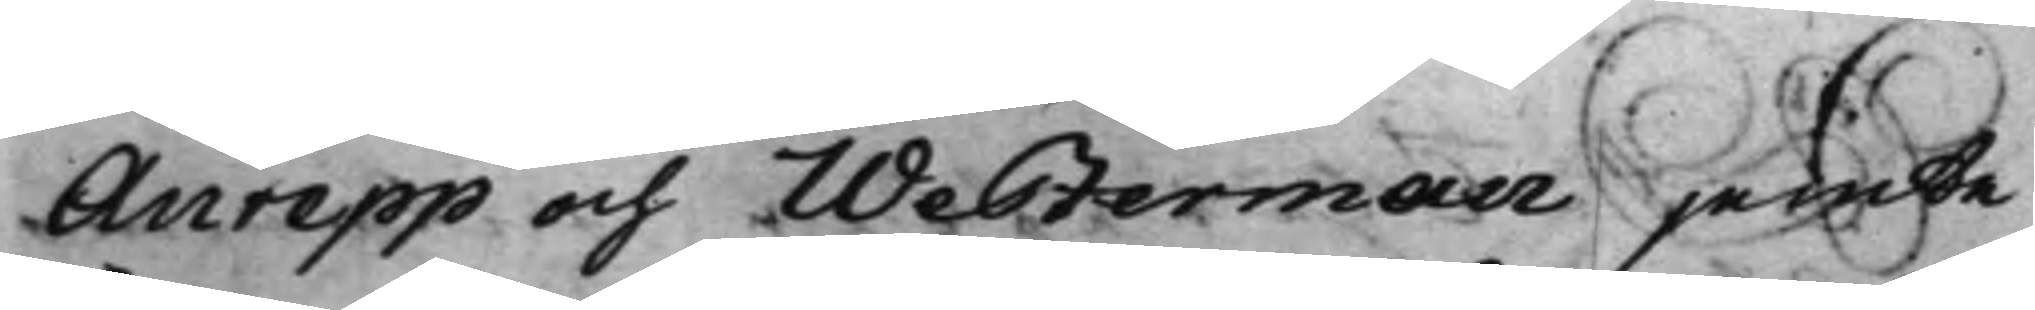Anrepp och Westerman jemte
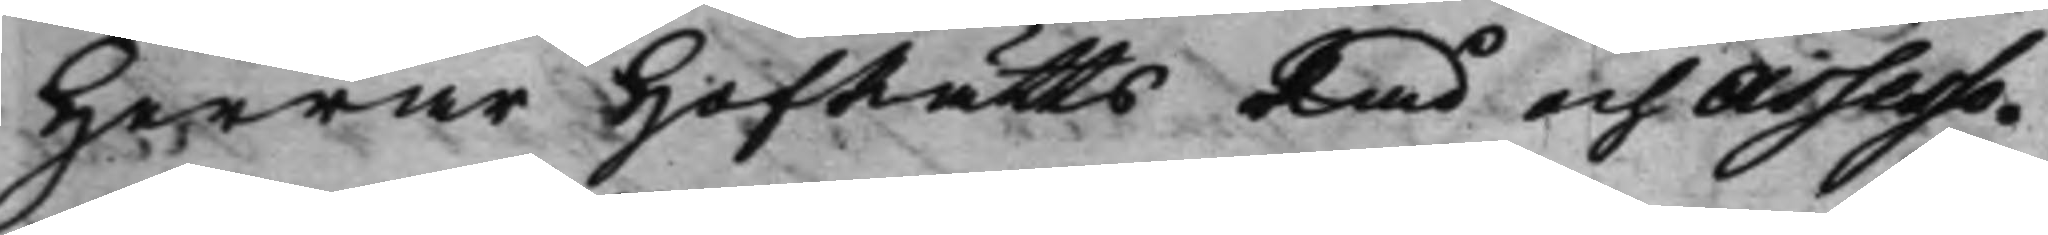Herrar HofRättsRåd och Assesso¬
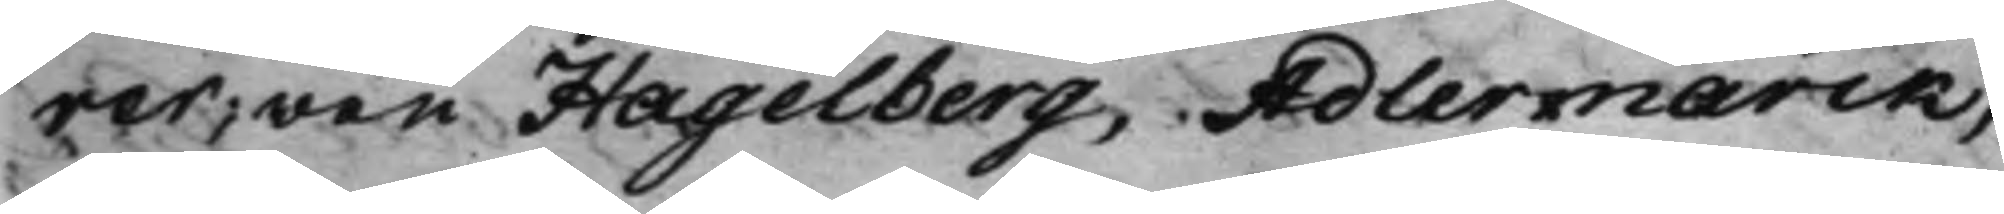rer, von Hagelberg, Adlermarck,
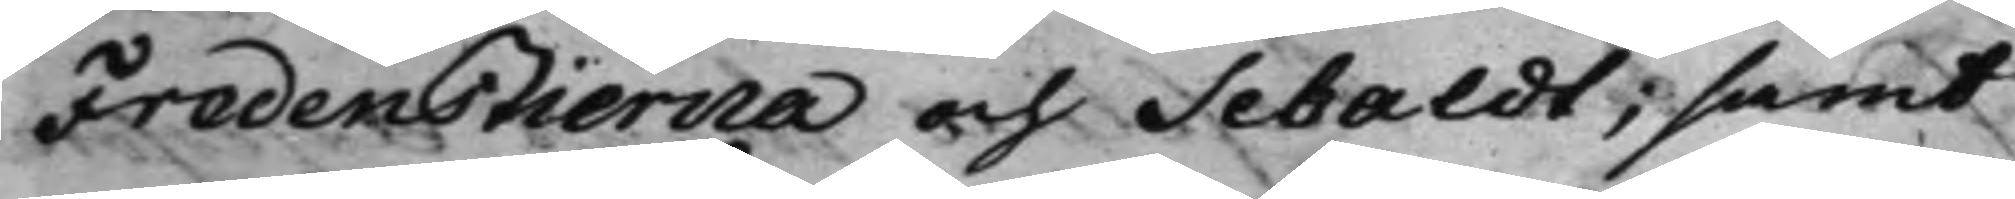Fredenstierna och Sebaldt, samt
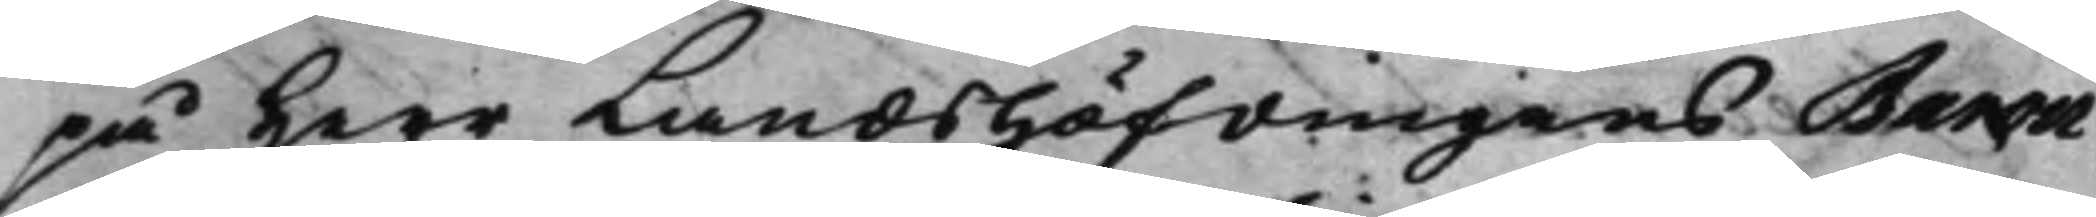på Herr Landshöfdingens Baron
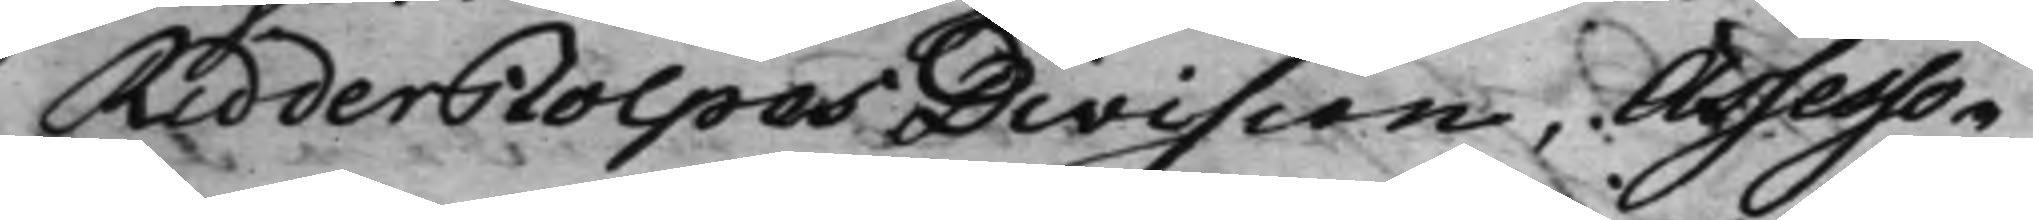Ridderstolpes Division, Assesso¬
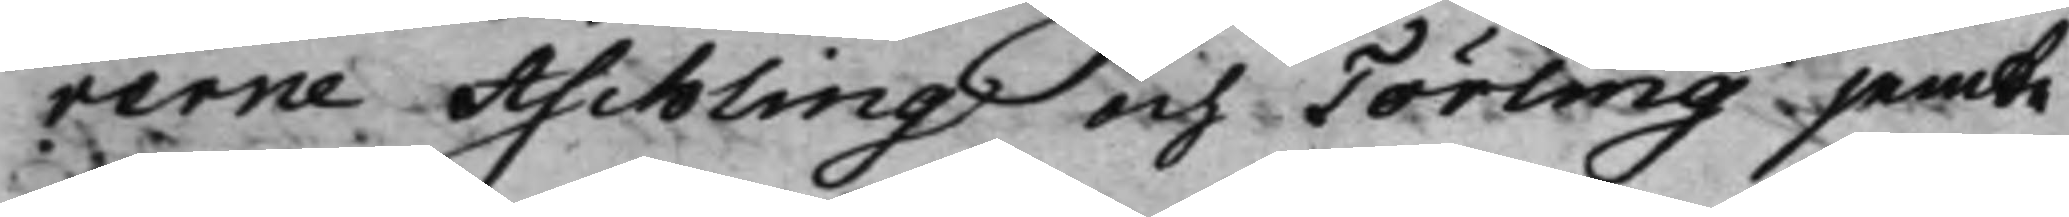rerne Aschling och Törling jemte
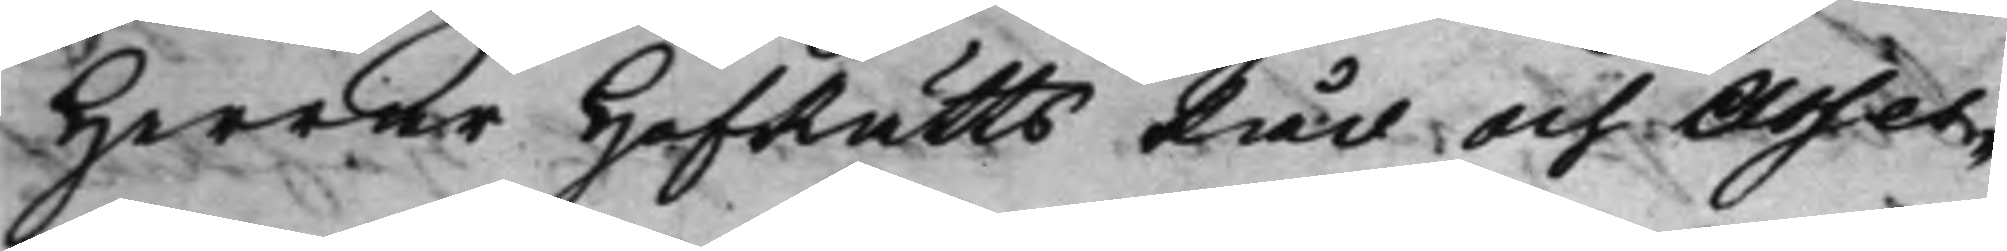Herrar HofRättsRåd och Asses¬
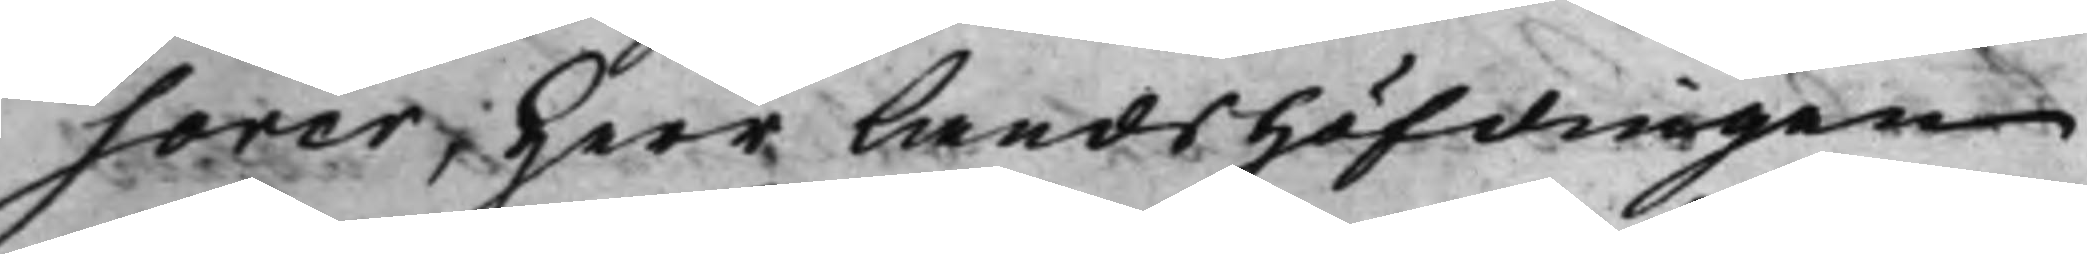sorer, Herr Landshöfdingen
